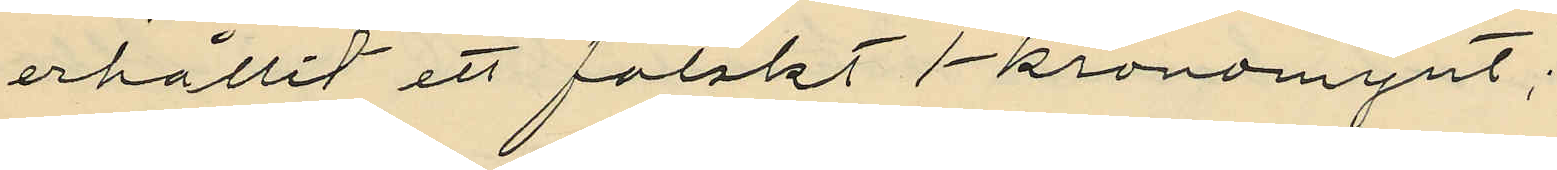erhållit ett falskt 1-kronomynt;
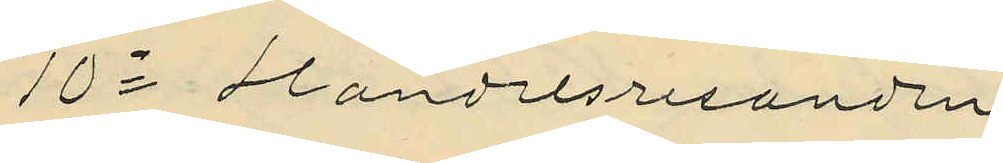10o  Handelsresanden
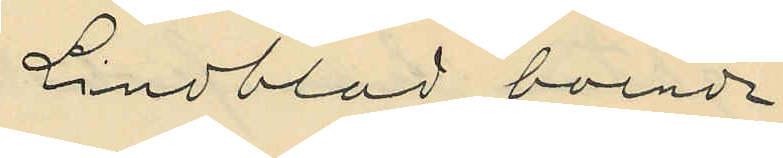Lindblad, boende
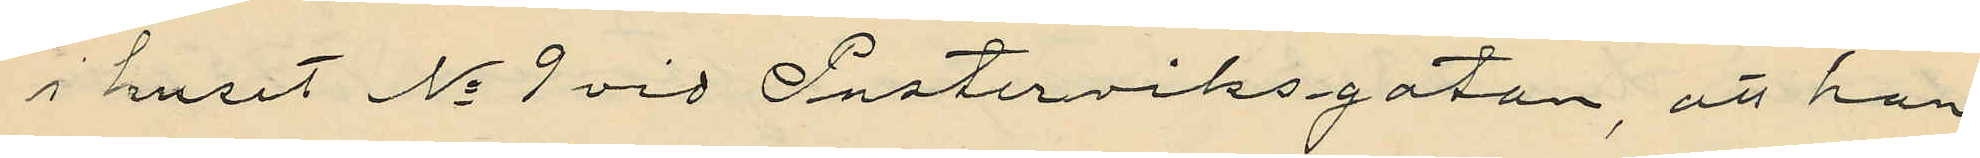i huset No 9 vid Pusterviksgatan, att han
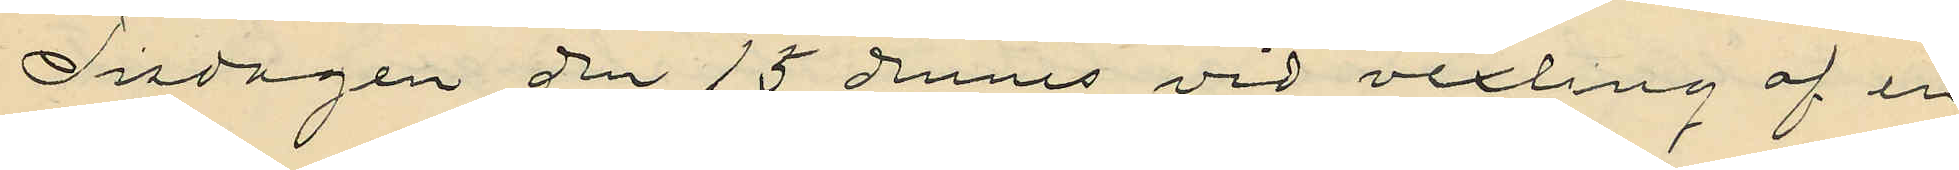Tisdagen den 15 dennes vid vexling af en
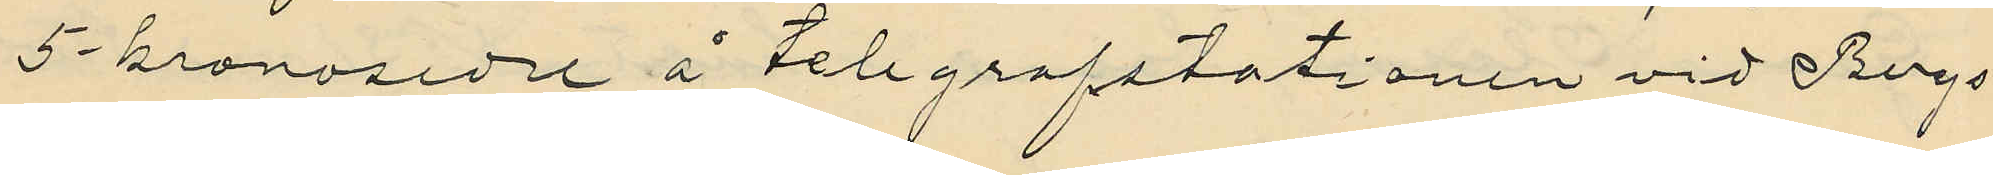5-kronosedel å telegrafstationen vid Bergs¬
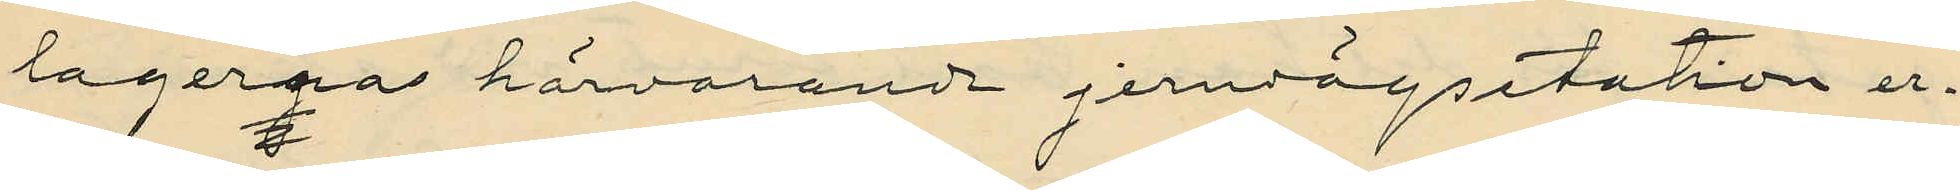lagernas härvarande jernvägsstation er¬
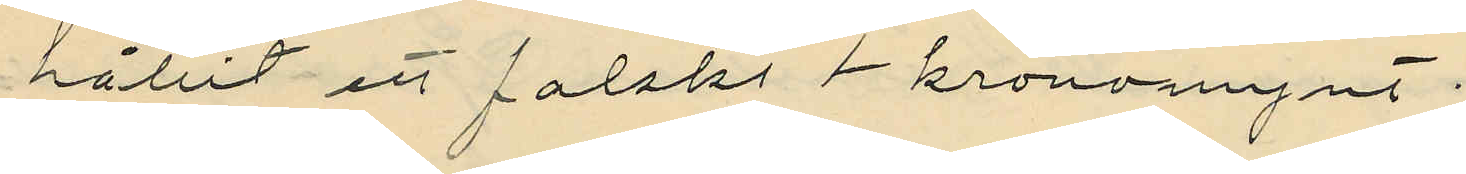hållit ett falskt 1-kronomynt;
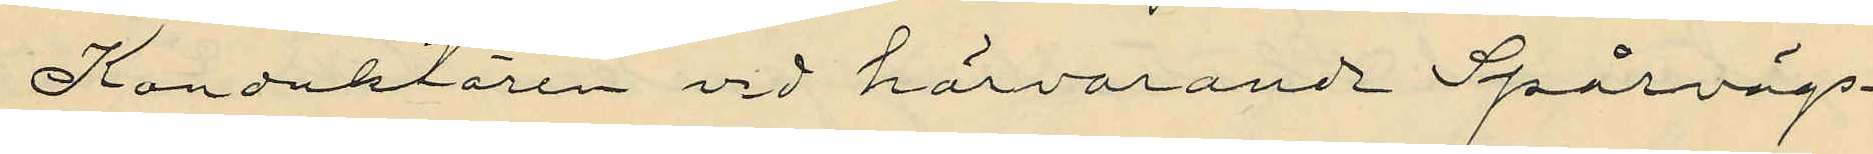Konduktören vid härvarande Spårvägs¬
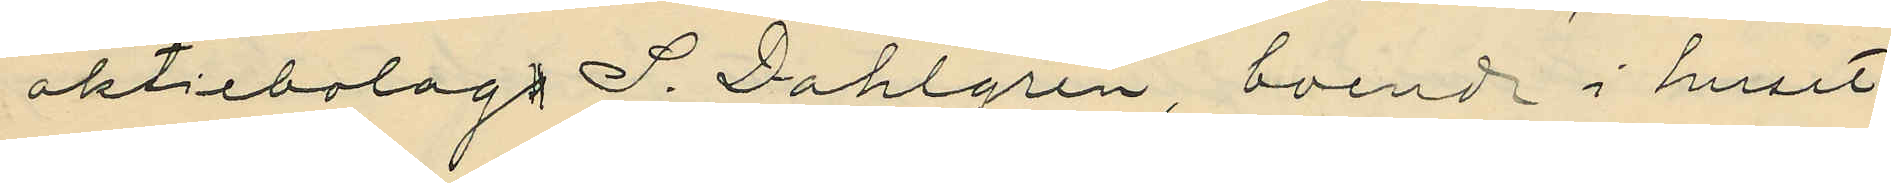aktiebolag S. Dahlgren, boende i huset
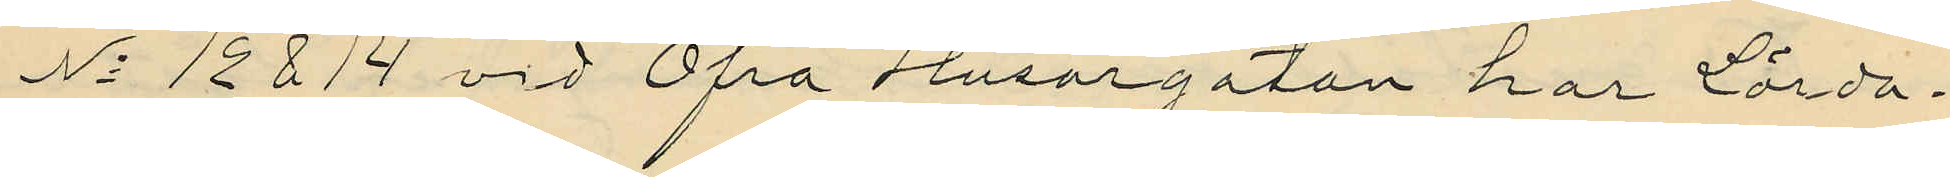No 12814 vid Öfra Husargatan har Lörda¬
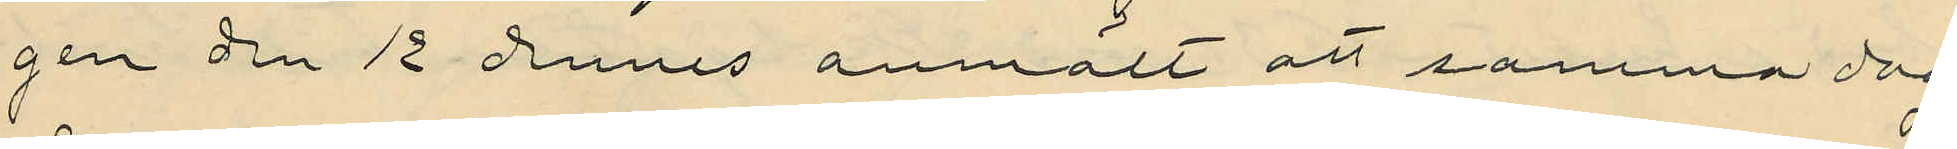gen den 12 dennes anmält att samma dag
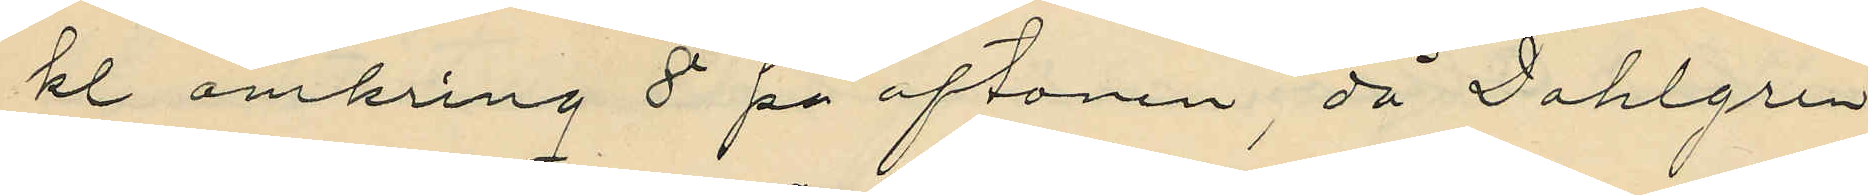kl. omkring 8 på aftonen, då Dahlgren
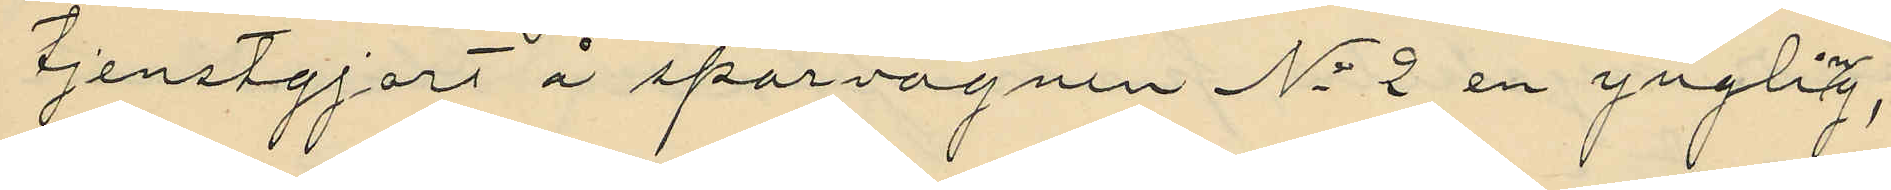tjenstgjort å spårvagnen No 2 en yngling,
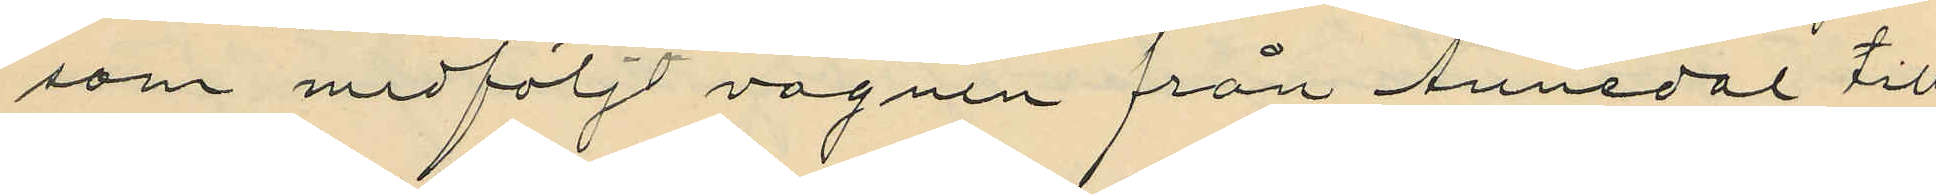som medföljt vagnen från Annedal till
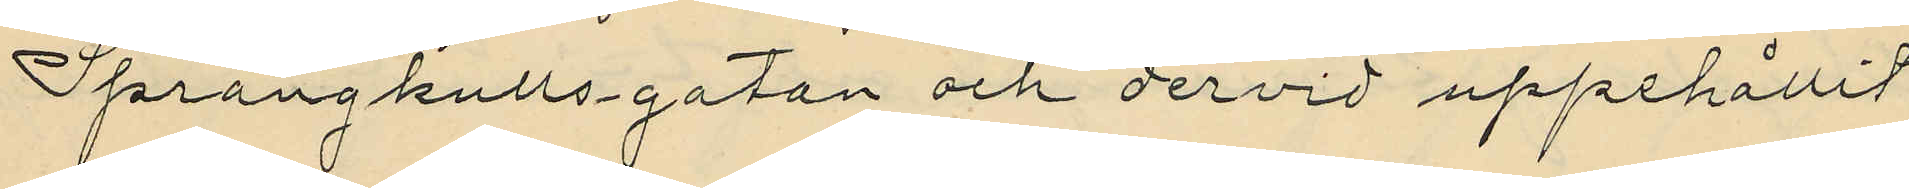Sprängkullsgatan och dervid uppehållit
